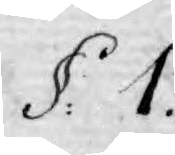§. 1.
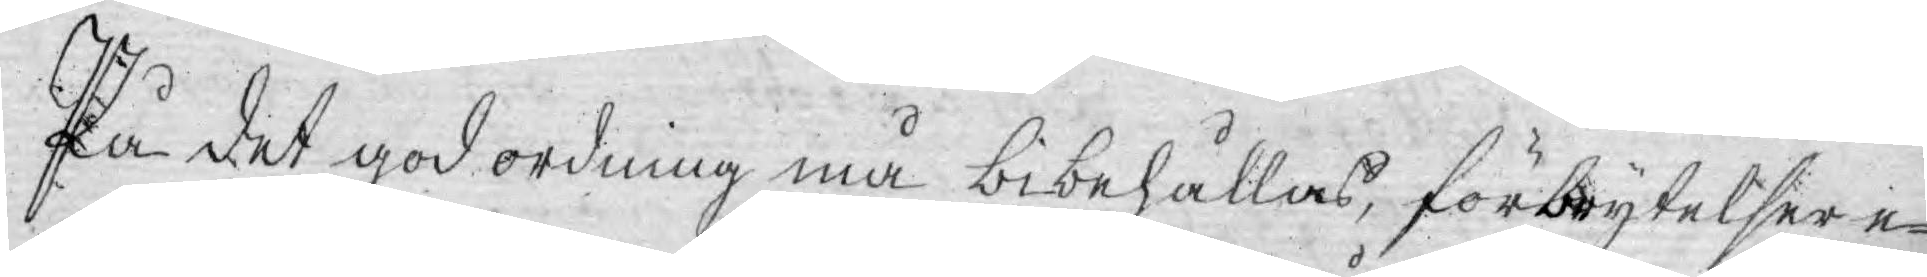På det god ordning må bibehållas, förbrytelser e¬
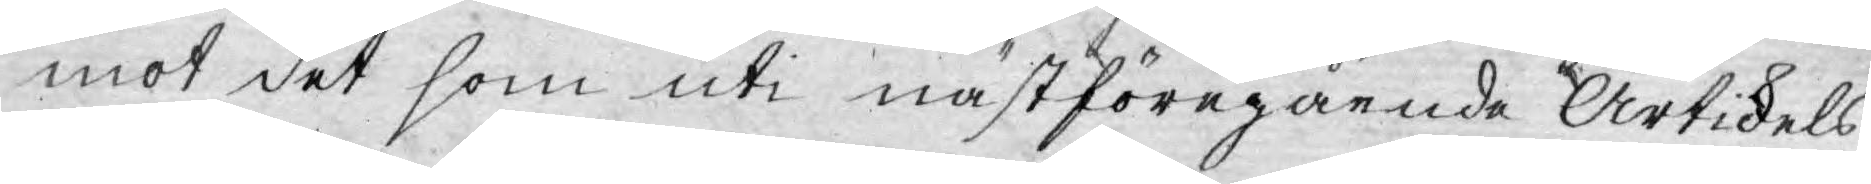mot det som uti nästföregående Artikels
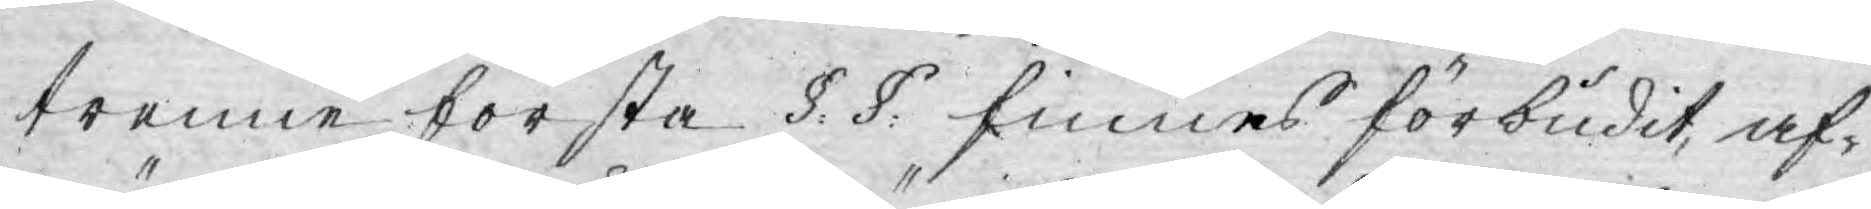trenne första §. §. finnes förbudit, af¬
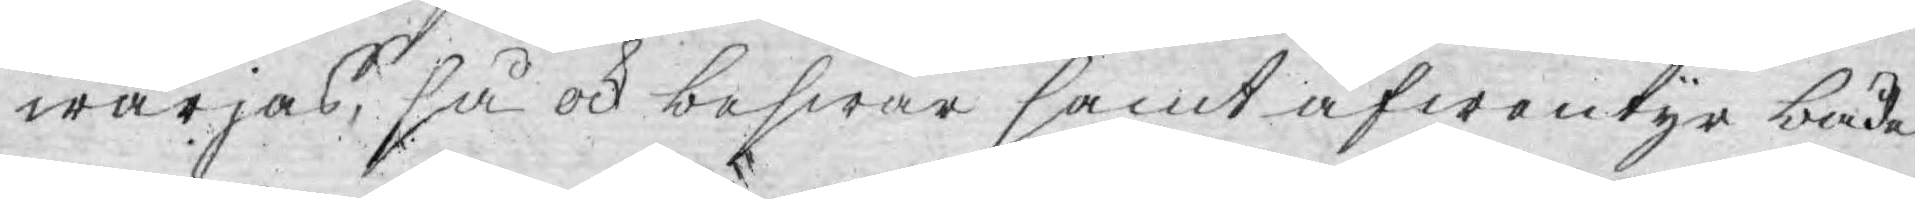wärjas, så ock beswär samt äfwentyr både
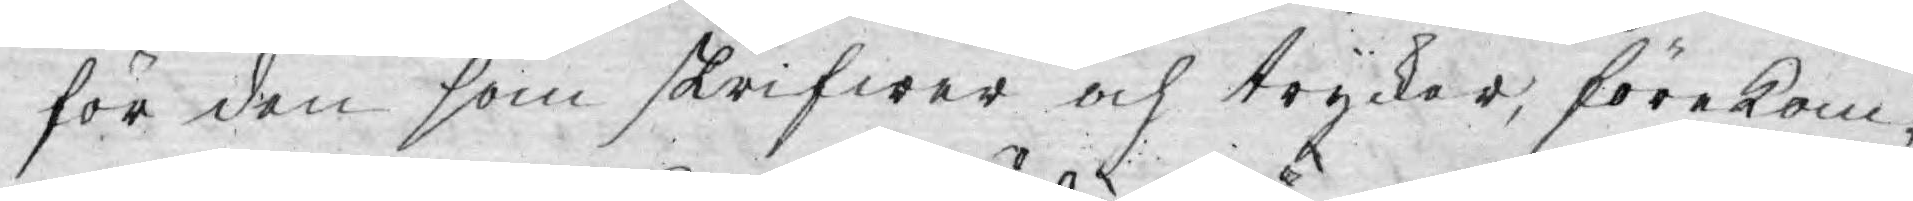för den som skrifwer och trycker, förekom¬
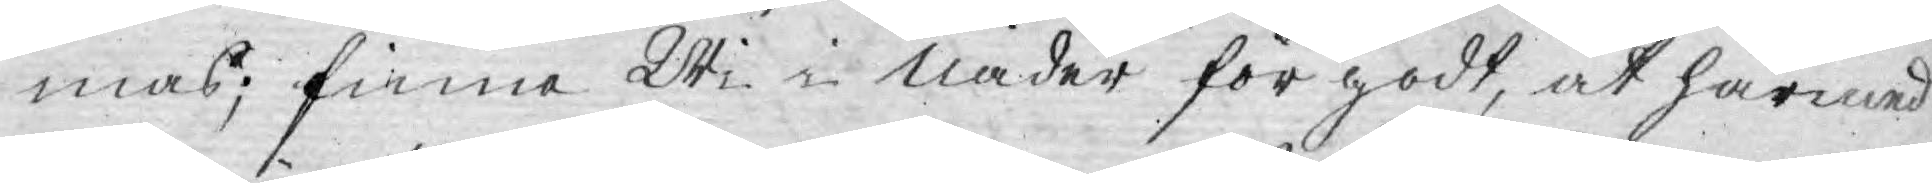mas; finna Wi i Nåder för godt, at härmed
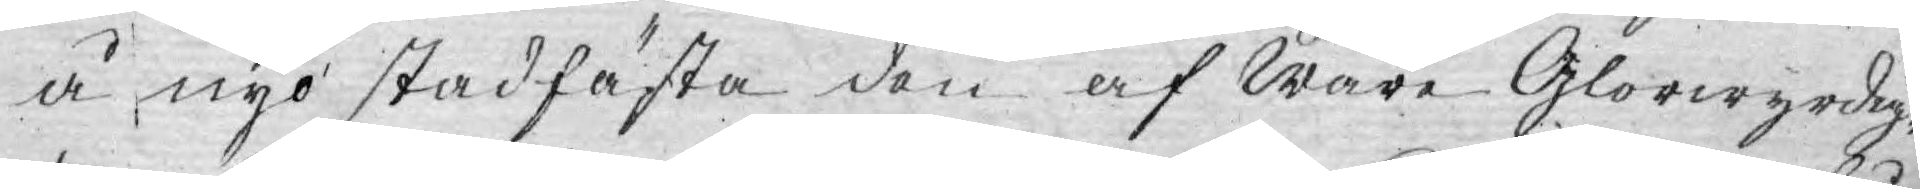å nyo stadfästa den af Wåre Glorwyrdig¬
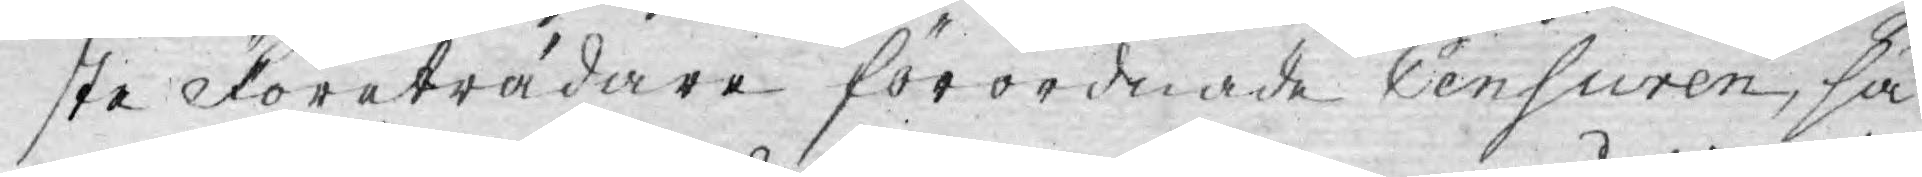ste Företrädare förordnade Censuren, så
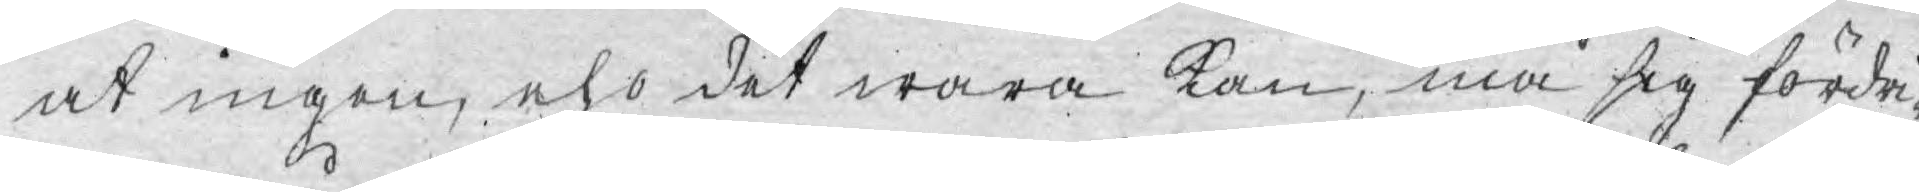at ingen, eho det wara kan, må sig fördri¬
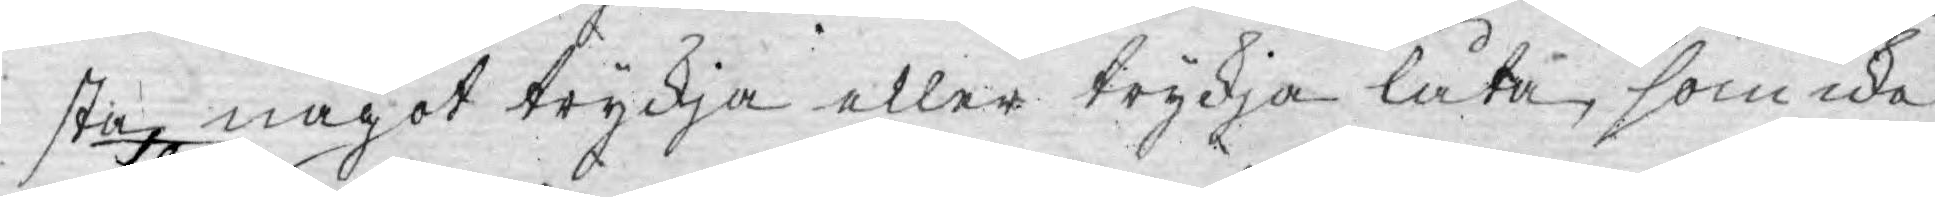sta något tryckja eller tryckja låta, som icke
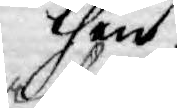then
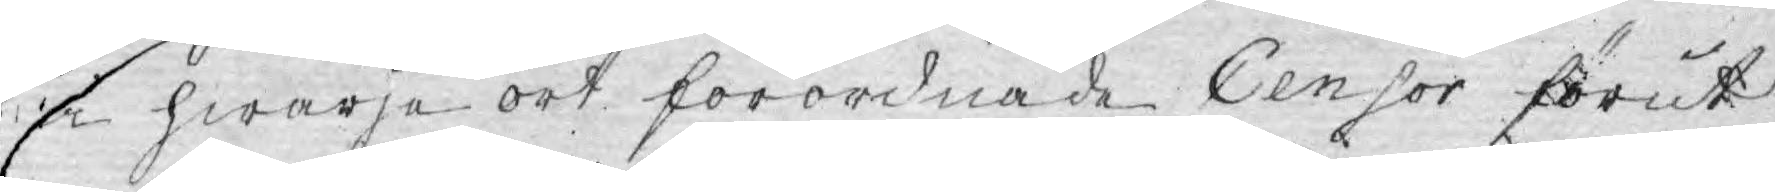å hwarje ort förordnade Censor förut
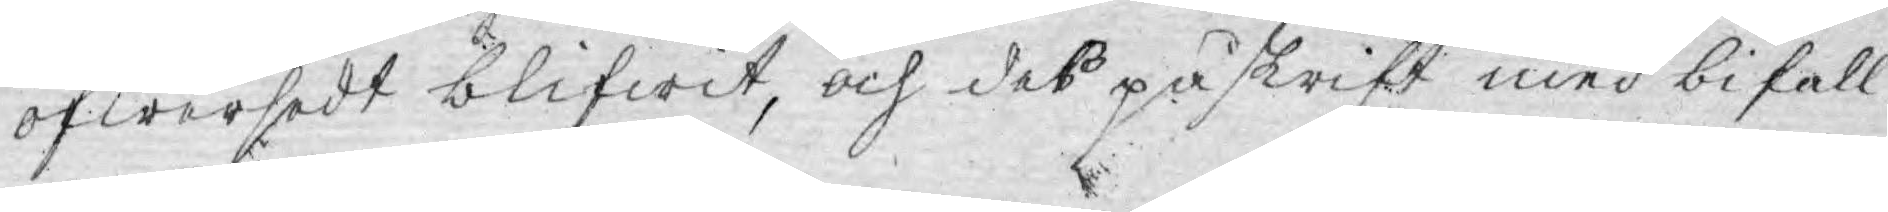öfwersedt blifwit, och des påskrift med bifall
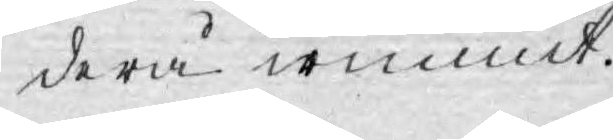derå wunnit.
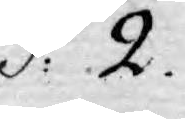§:2.
